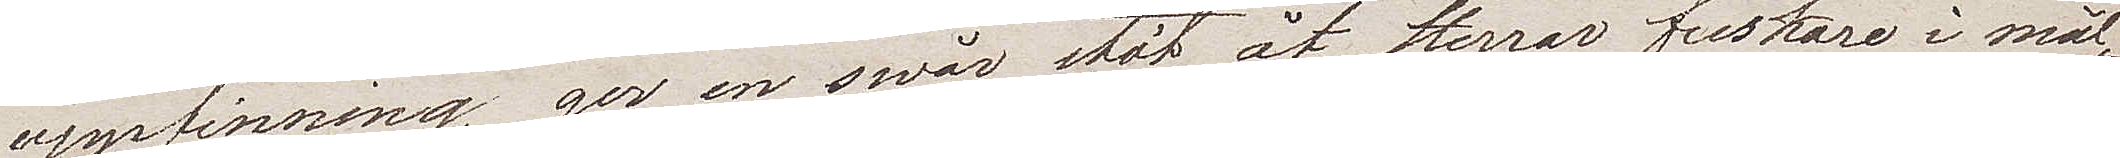uppfinning ger en svår stöt åt Herrar forskare i mål¬
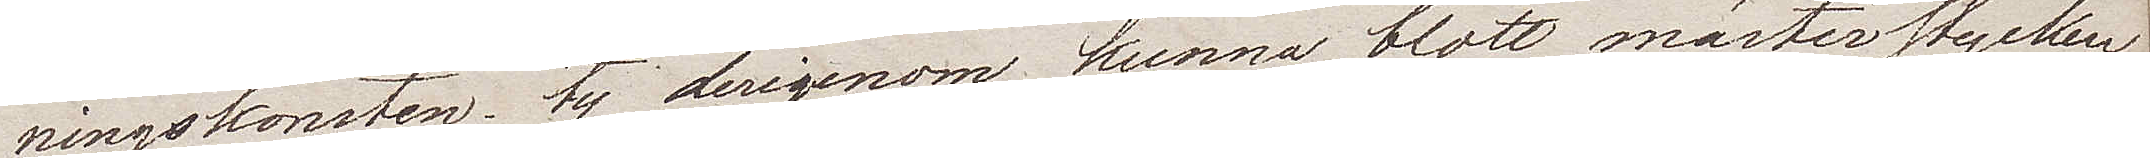ningskonsten, ty derigenom kunna blott mästerstycken
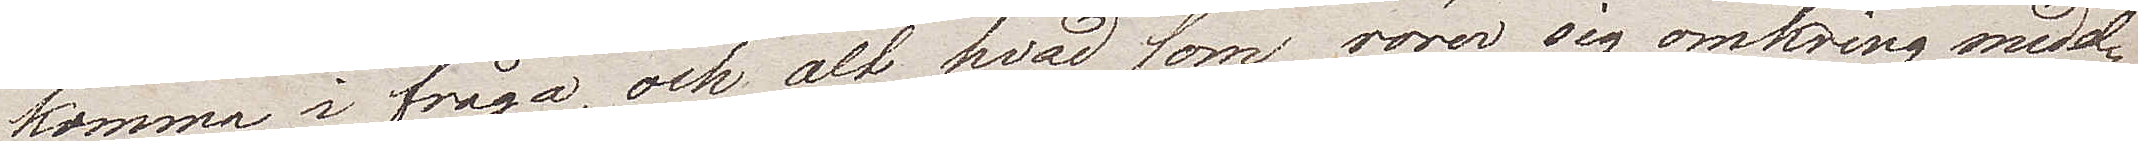komma i fråga, och alt hvad som rörer sig omkring medel¬
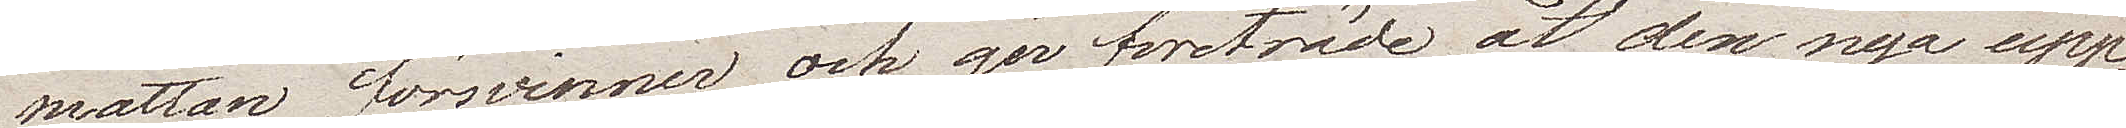måttan försvinner och ger företräde åt den nya upp¬
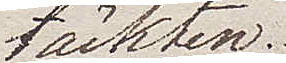täckten.
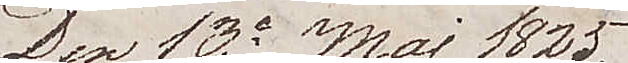Den 13e Maj 1825. 
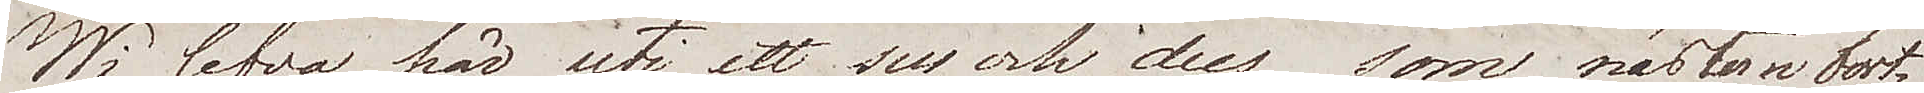Wi lefva här uti ett sus och dus som nästan bort¬
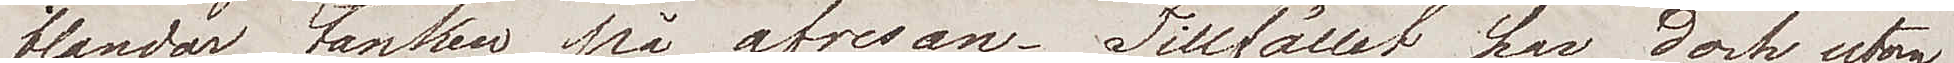blandar tanken på afresan. Tillfället har dock utom
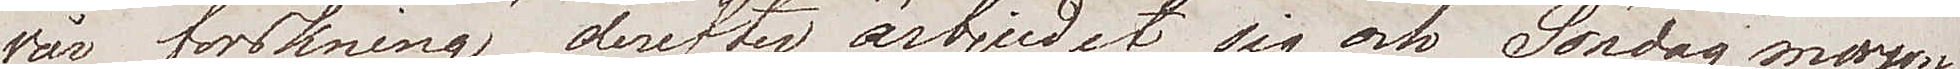vår forskning derefter ärbjudit sig och Söndag morgon
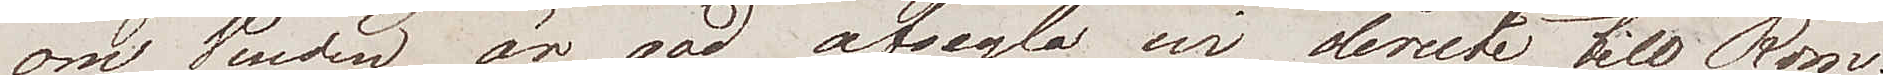om Vinden är god afsegla wi directe till Rom.
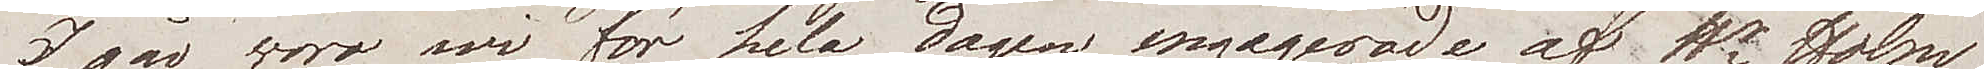Igår woro wi för hela dagen engagerade af Hr Holm.
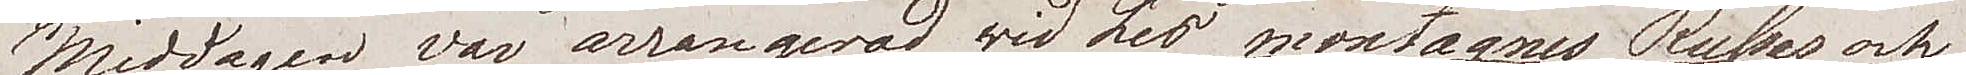Middagen var arrangerad wid Les montagnes Russes och
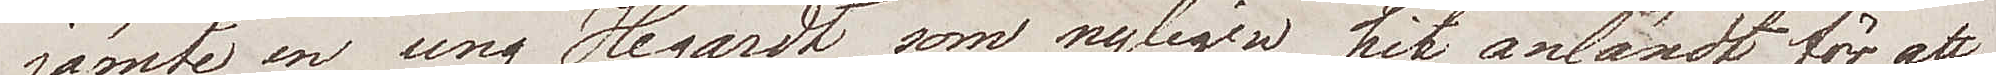jämte en ung Hegardt som nyligen hit anländt för att
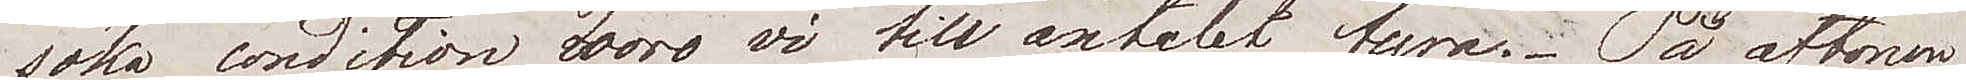söka condition woro vi till antalet fyra. På aftonen
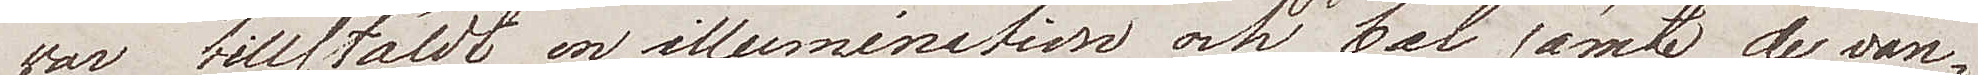var tillställdt en illumination och bal jämte de van¬
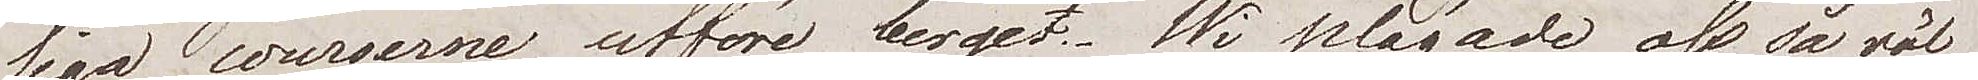liga courserna utföre berget. Wi plägade oss så väl
